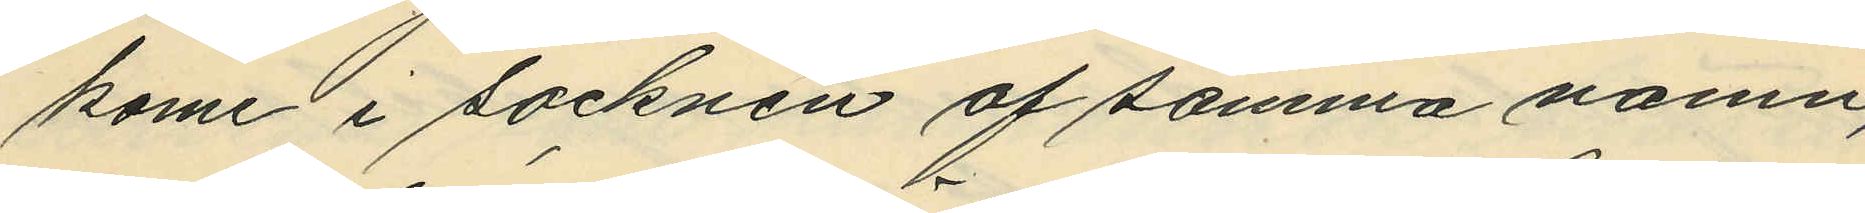kome i socknen af samma namn,
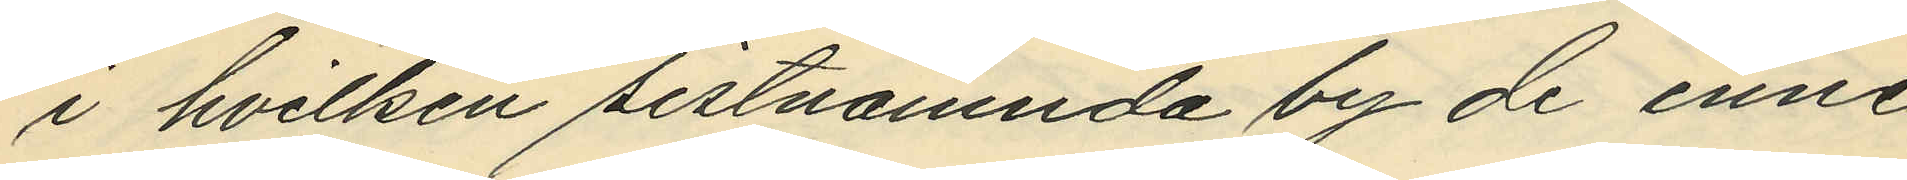i hvilken sistnämnda by de inne¬
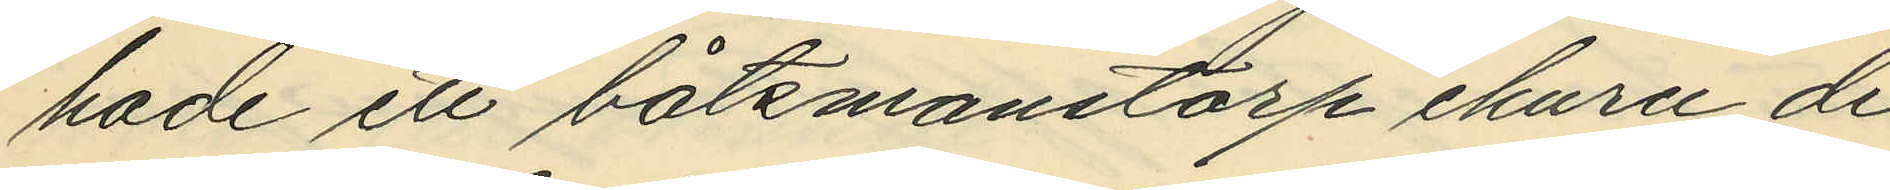hade ett båtsmanstorp ehuru de
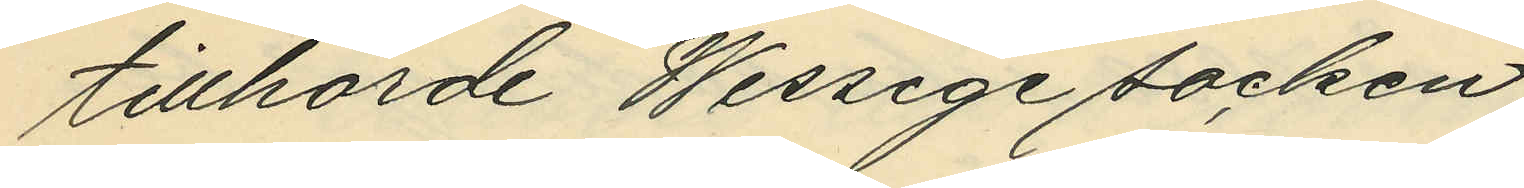tillhörde Wessige socken;
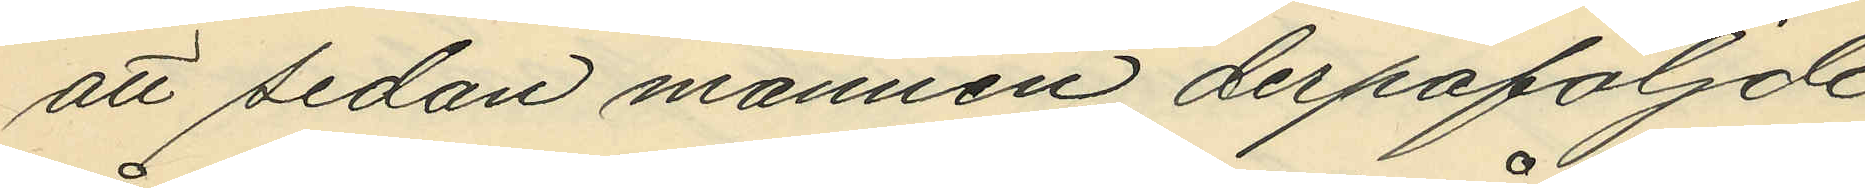att sedan mannen derpåföljde
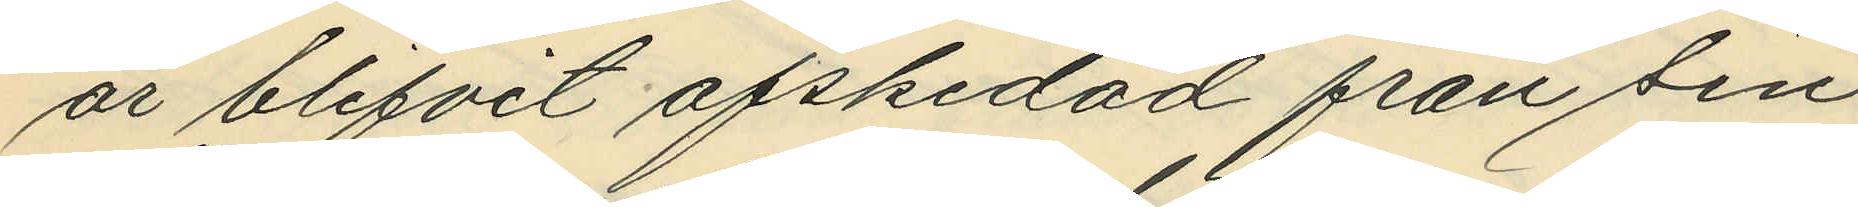år blifvit afskedad från sin
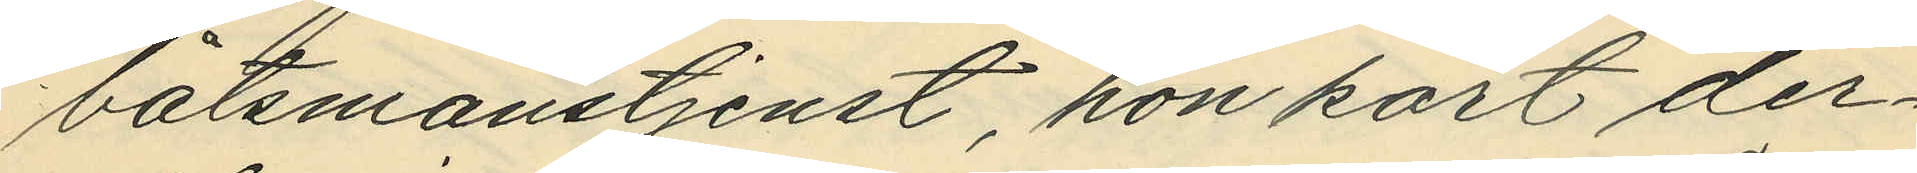båtsmanstjenst, hon kort der¬
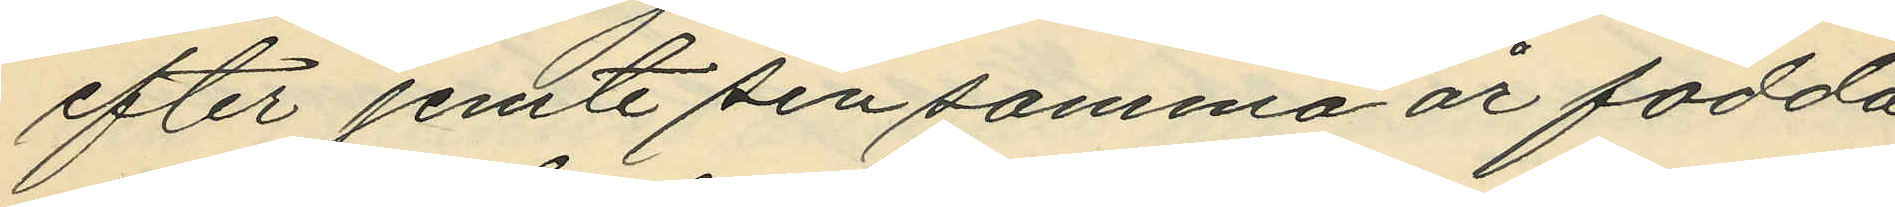efter jemte sin samma år födda
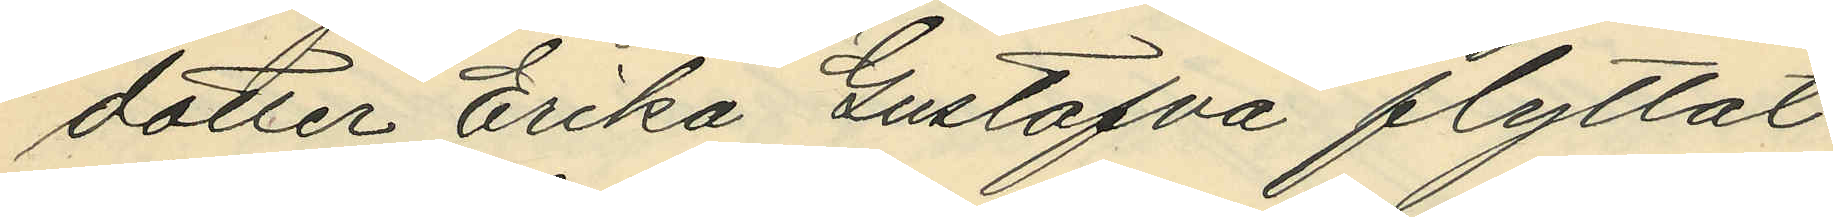dotter Erika Gustafva flyttat
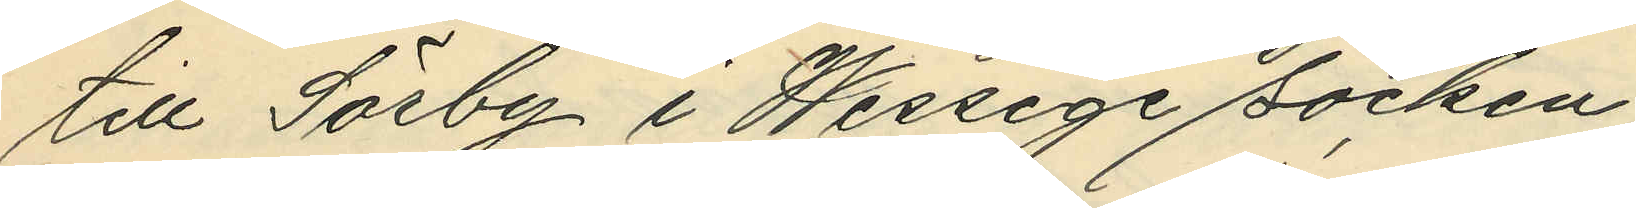till Sörby i Wessige socken;
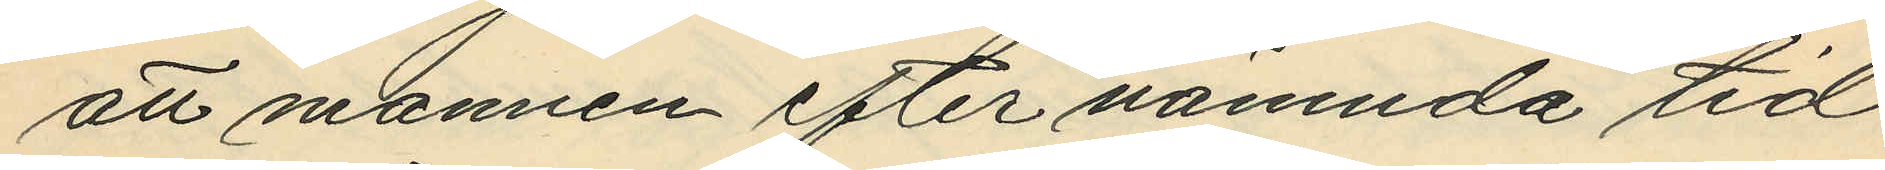att mannen efter nämnda tid
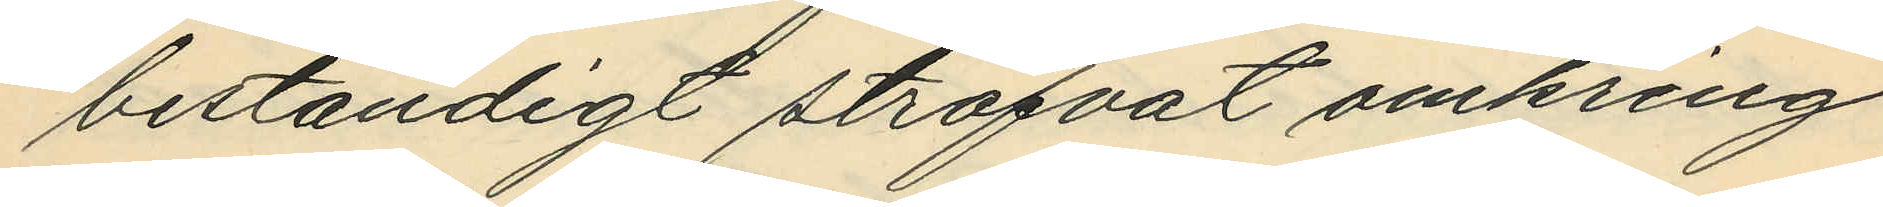beständigt ströfvat omkring
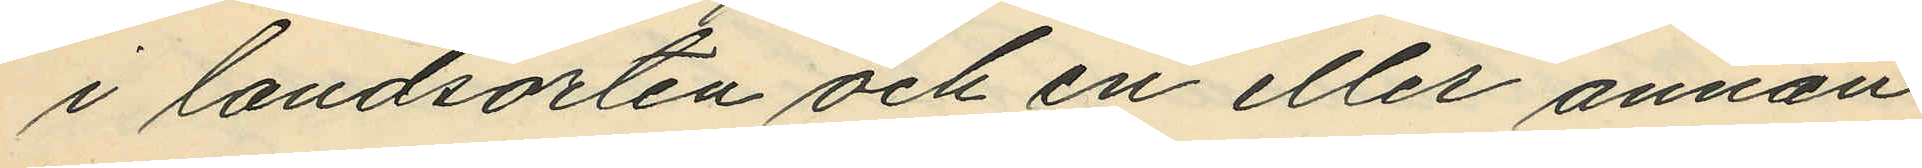i landsorten och en eller annan
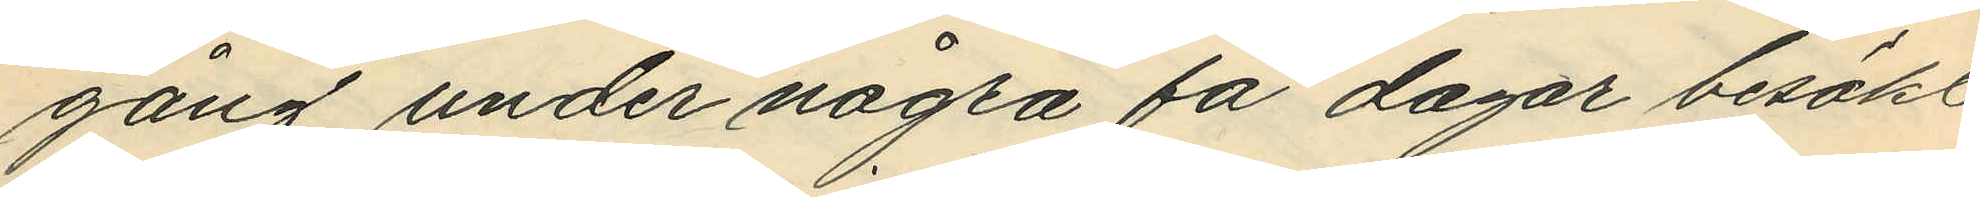gång under några få dagar besökt
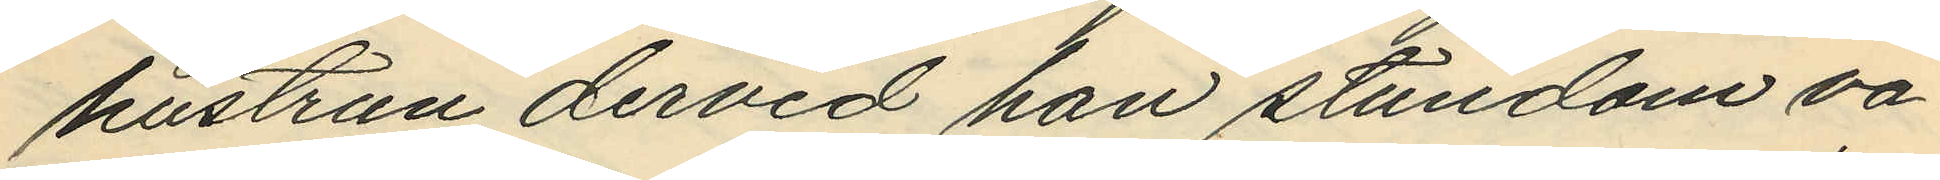hustrun dervid han stundom va¬
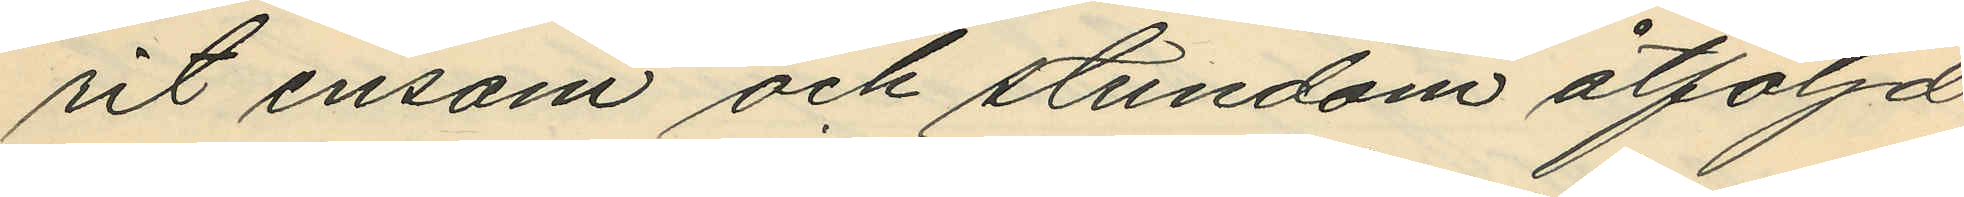rit ensam och stundom åtföljd
